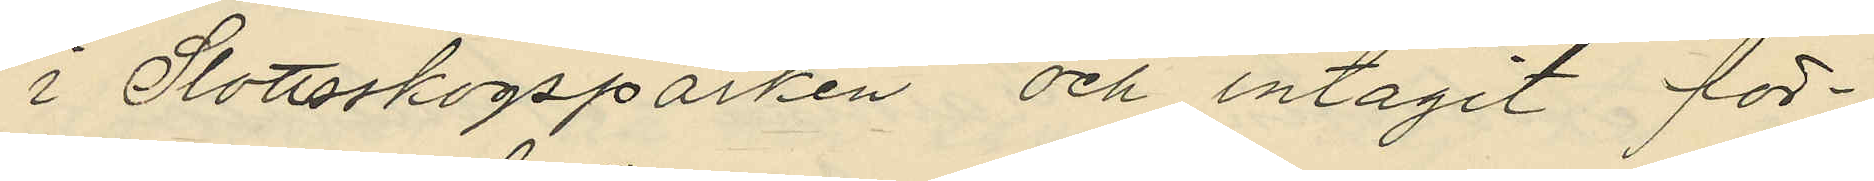i Slottsskogsparken och intagit för¬
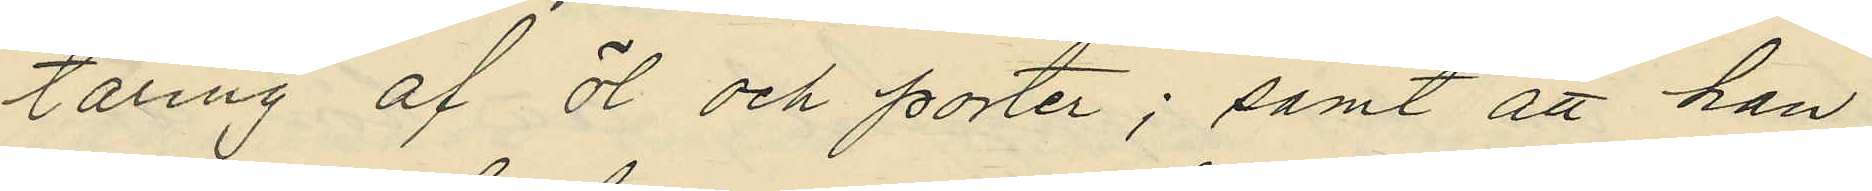täring af öl och porter; samt att han
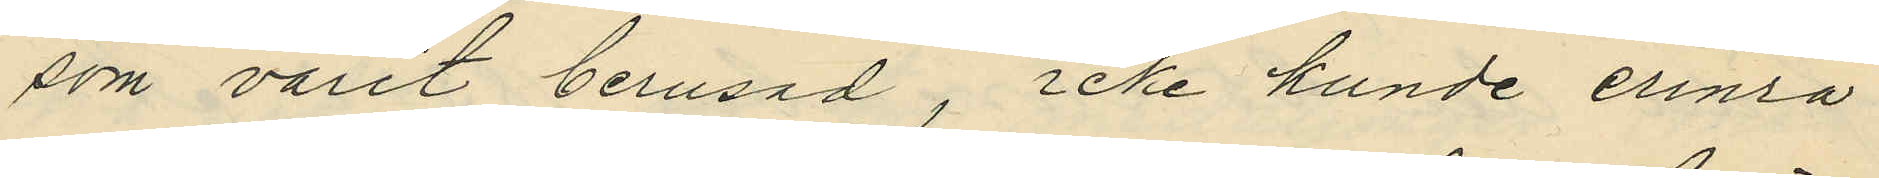som varit berusad, icke kunde erinra
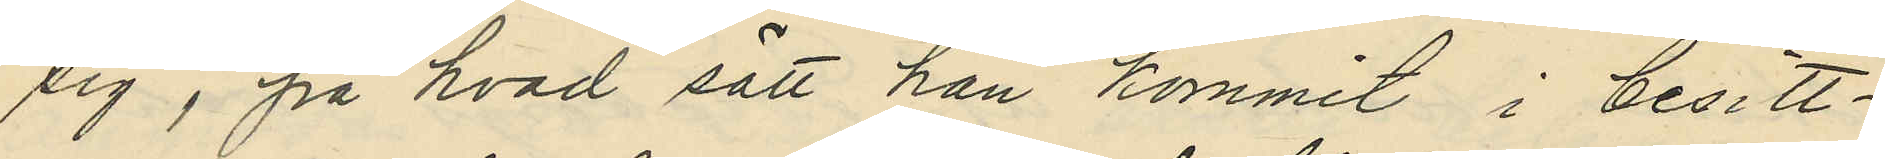sig, på hvad sätt han kommit i besitt¬
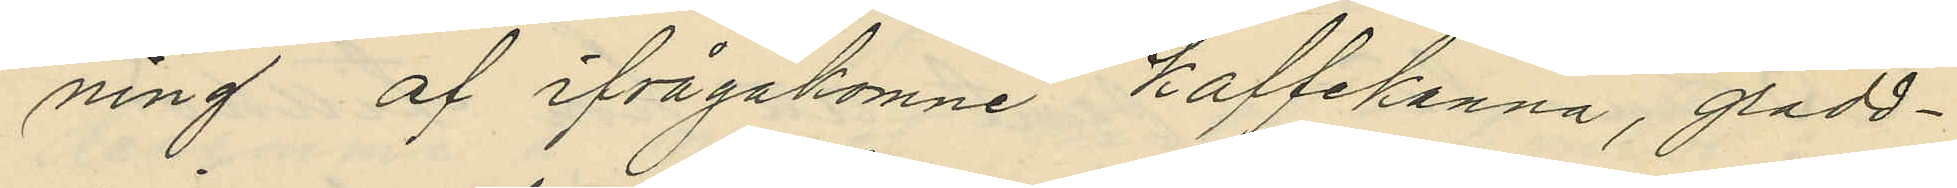ning af ifrågakomne kaffekanna, grädd¬
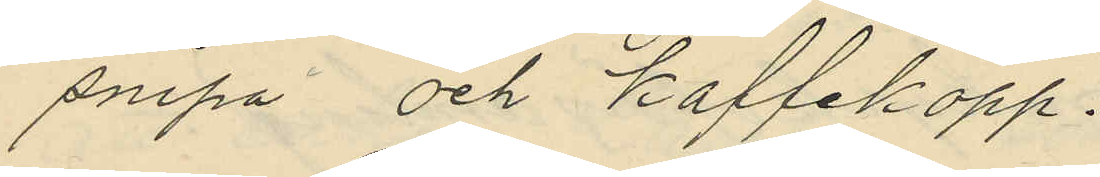snipa och kaffekopp.
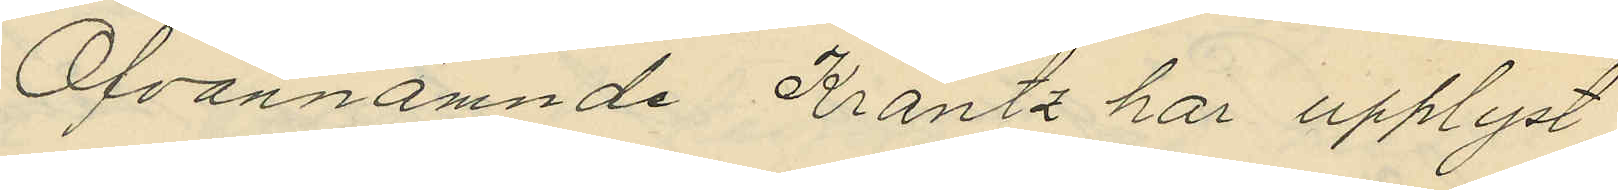Ofvannämnde Krantz har upplyst,
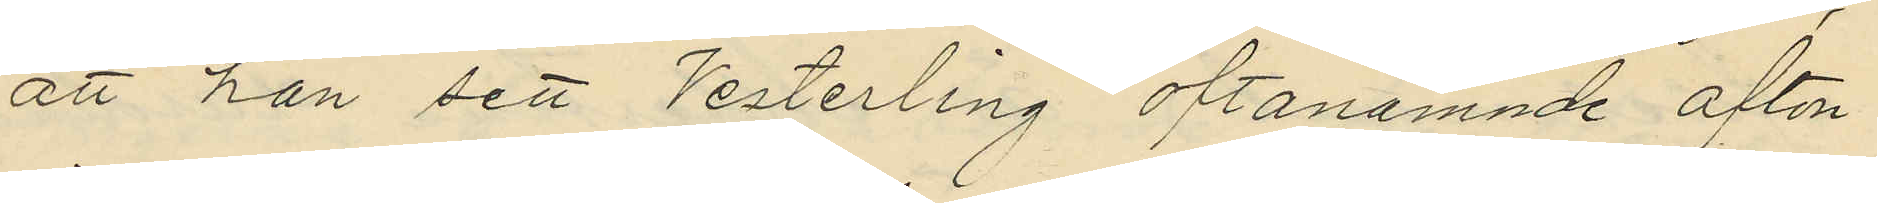att han sett Vesterling oftanämnde afton
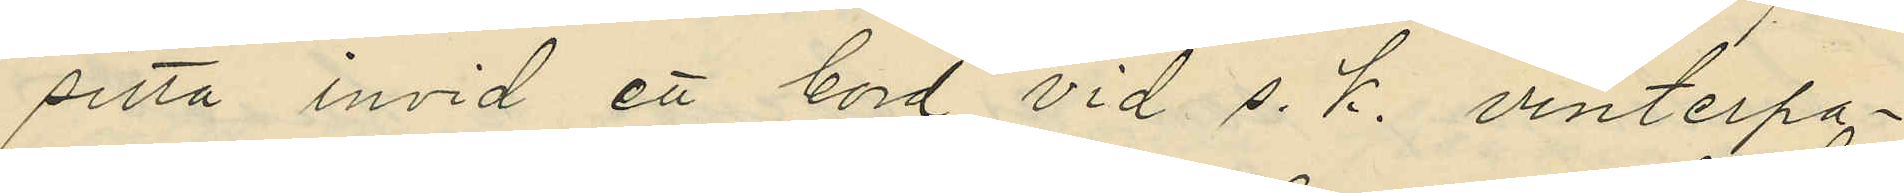sitta invid ett bord vid s. k. vinterpa¬
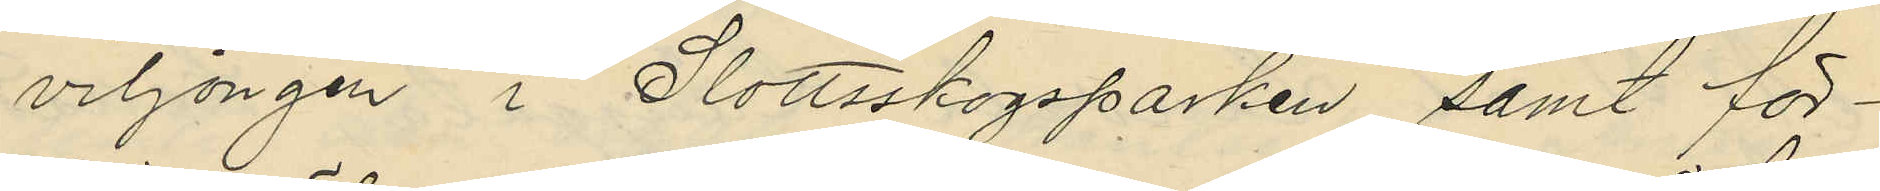viljongen i Slottsskogsparken samt för¬
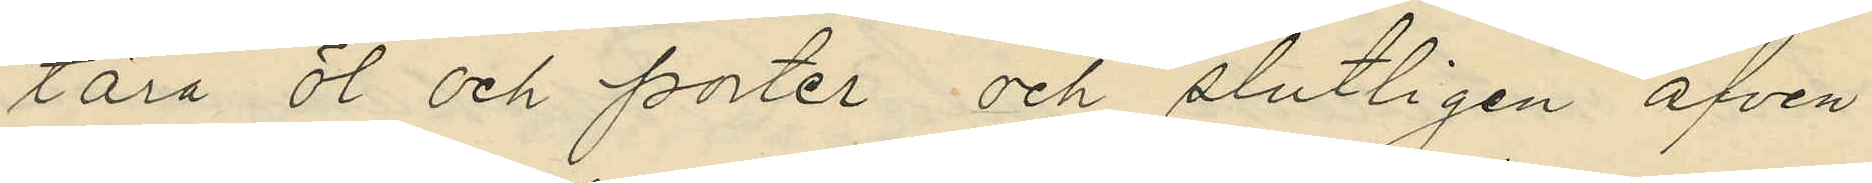tära öl och porter och slutligen äfven
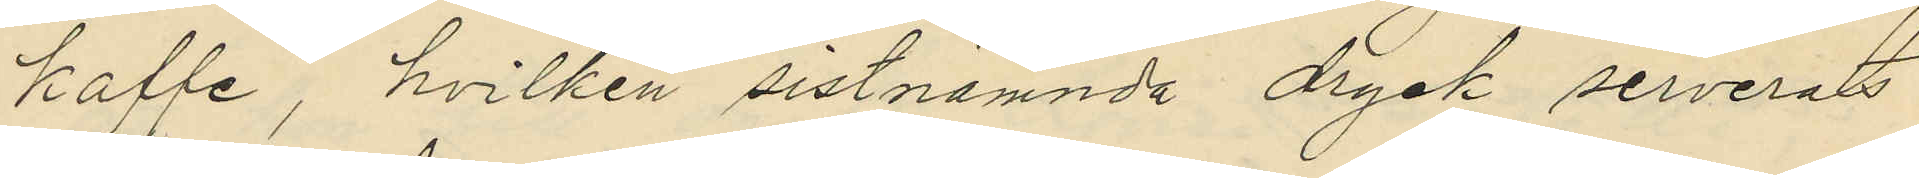kaffe, hvilken sistnämnda dryck serverats
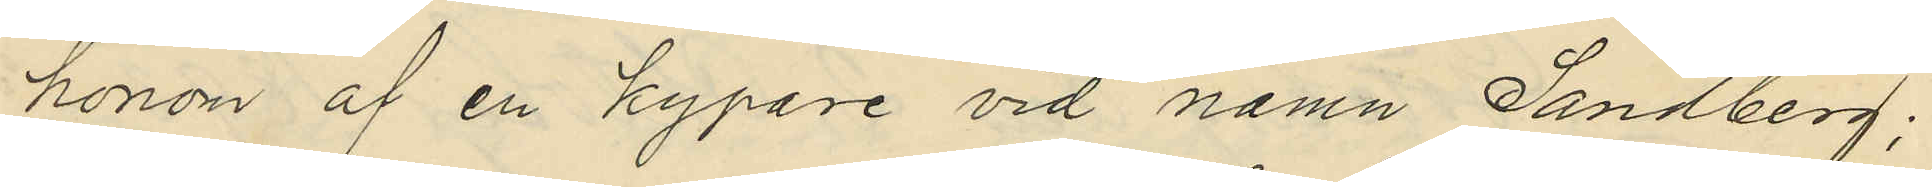honom af en kypare vid namn Sandberg;
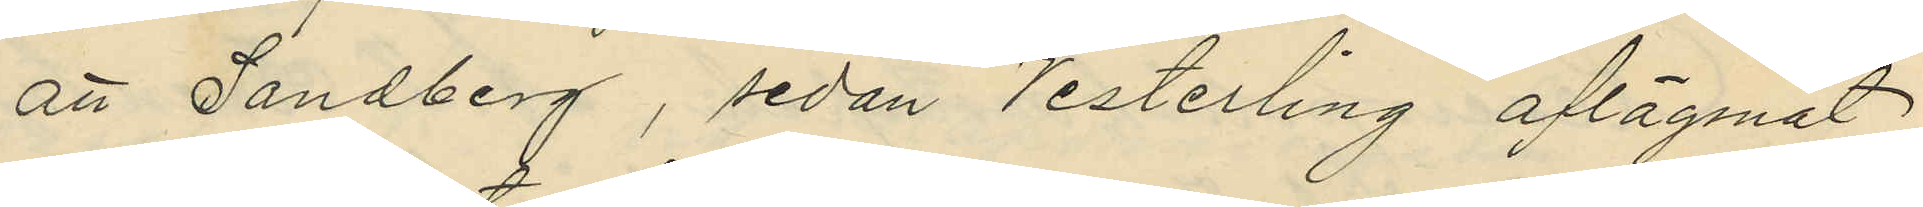att Sandberg, sedan Vesterling aflägsnat
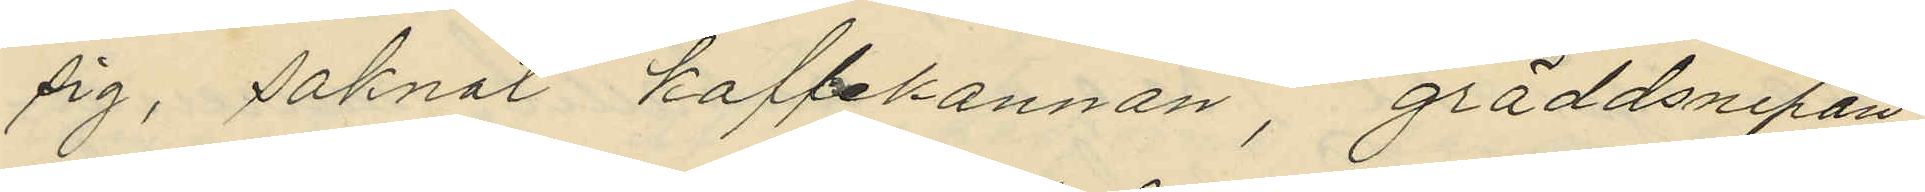sig, saknat kaffekannan, gräddsnipan
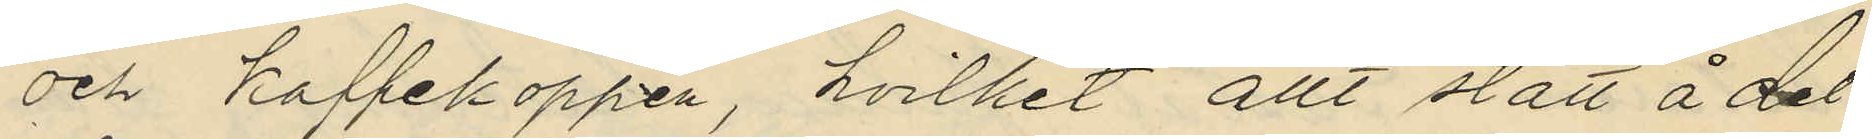och kaffekoppen, hvilket allt stått å det
